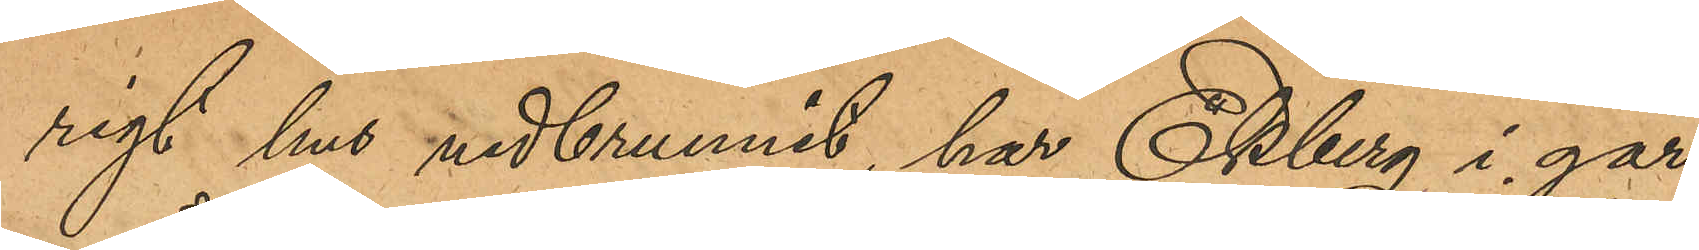rigt hus nedbrunnit, har Ekberg i går,
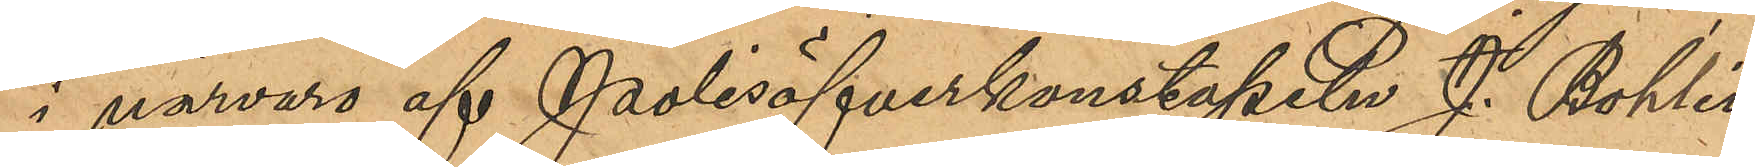i närvaro af Polisöfverkonstapeln J. Bohlin
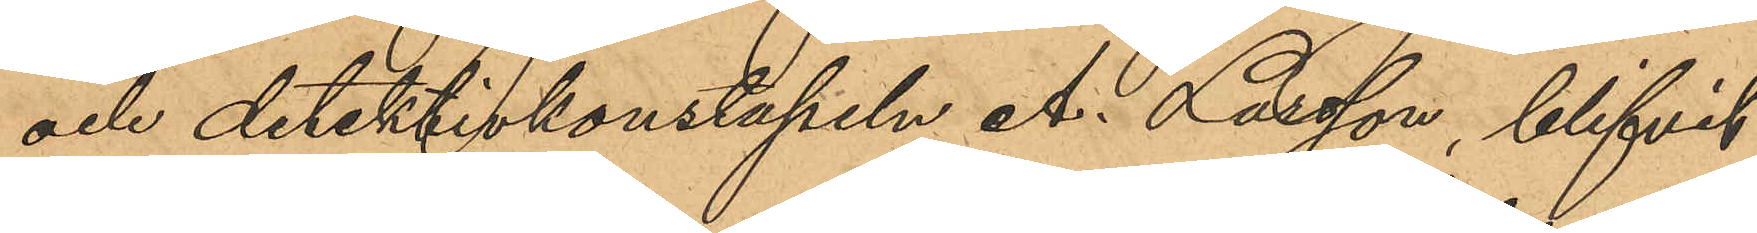och detektivkonstapeln A. Larsson, blifvit
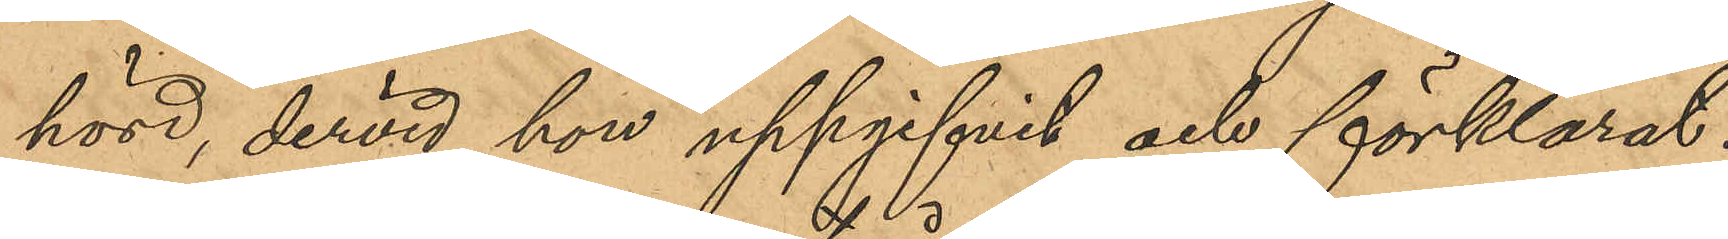hörd, dervid hon uppgifvit och förklarat:
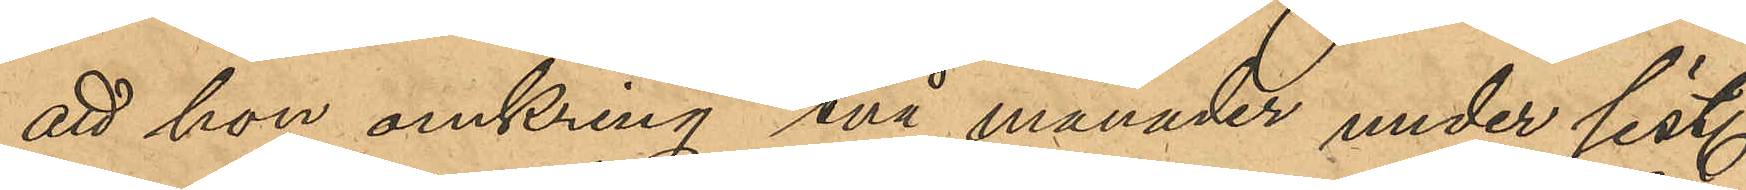att hon omkring två månader under sist.
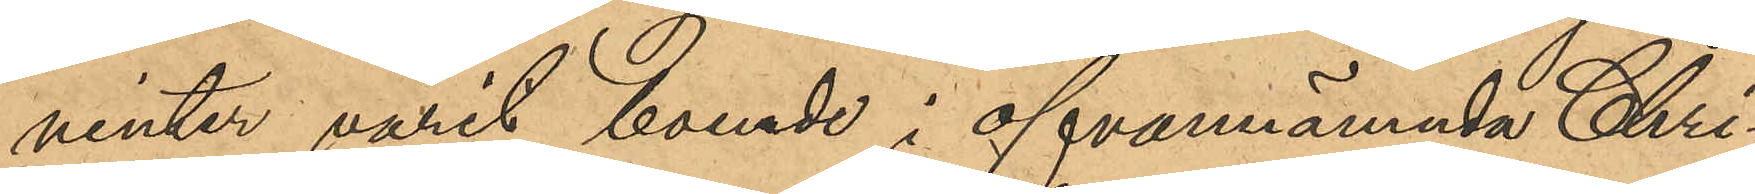vinter varit boende i ofvannämnda Chri¬
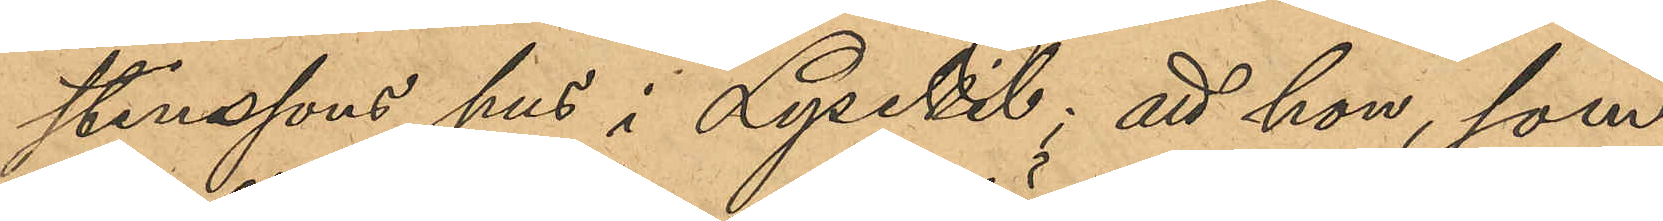stenssons hus i Lysekil; att hon, som
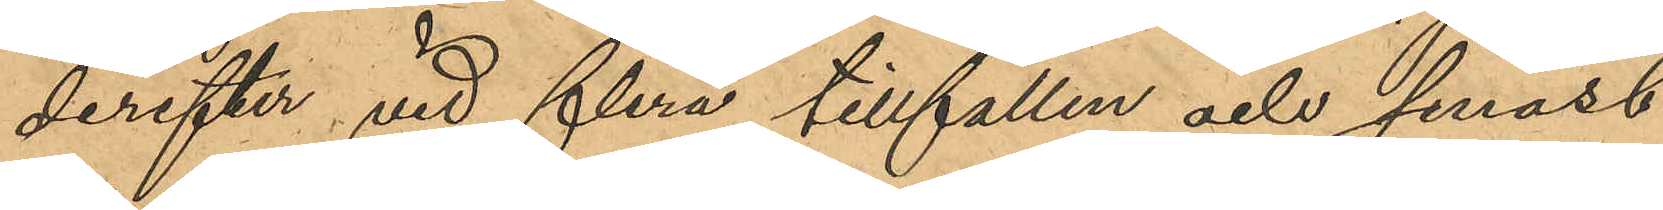derefter vid flera tillfällen och senast
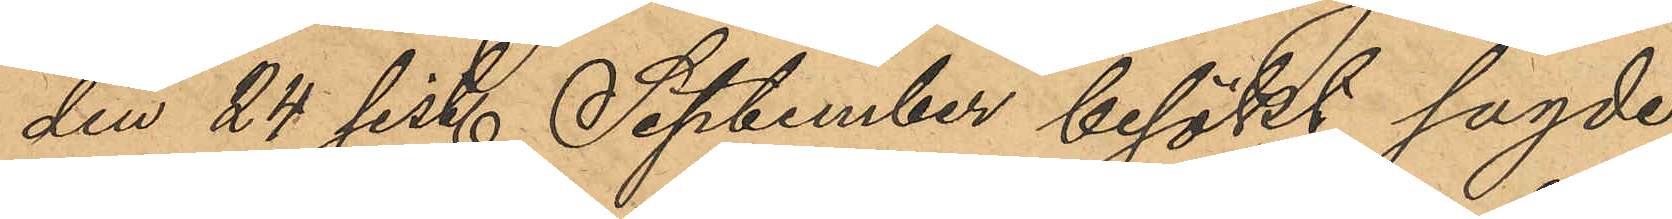den 24 sist. September besökt sagde
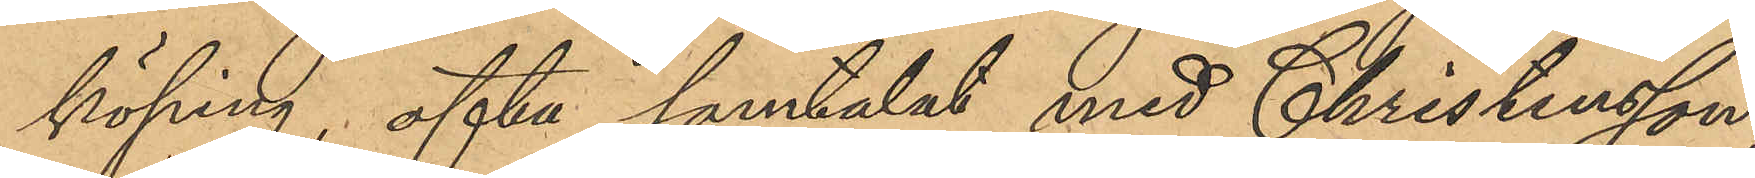köping, ofta samtalat med Christensson;
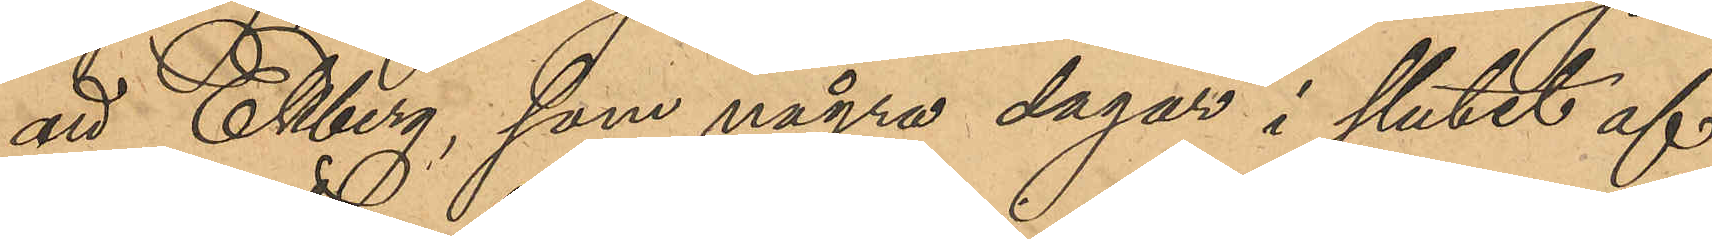att Ekberg, som några dagar i slutet af
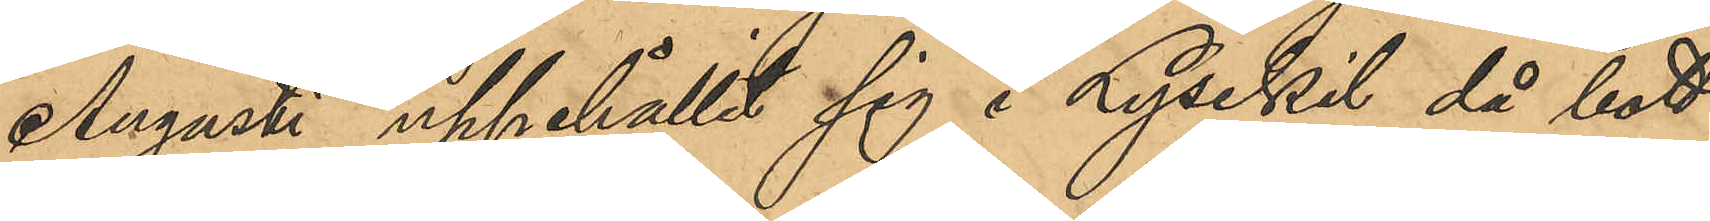Augusti uppehållit sig i Lysekil då bott
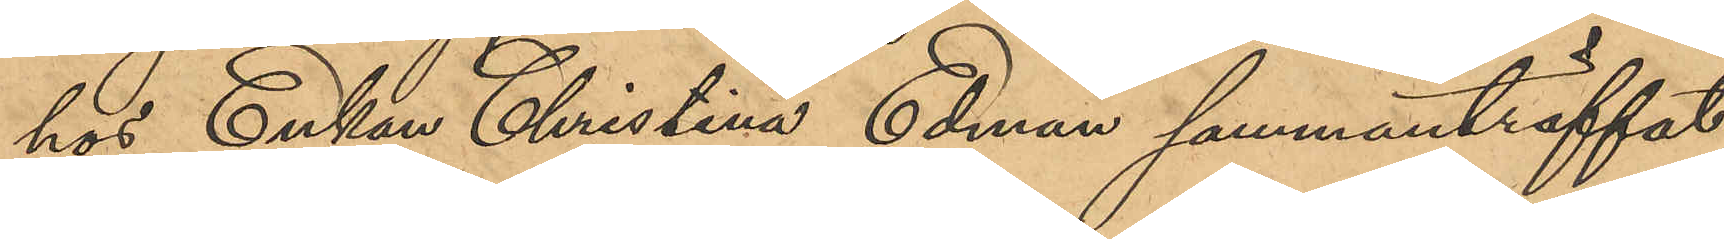hos Enkan Christina Edman sammanträffat
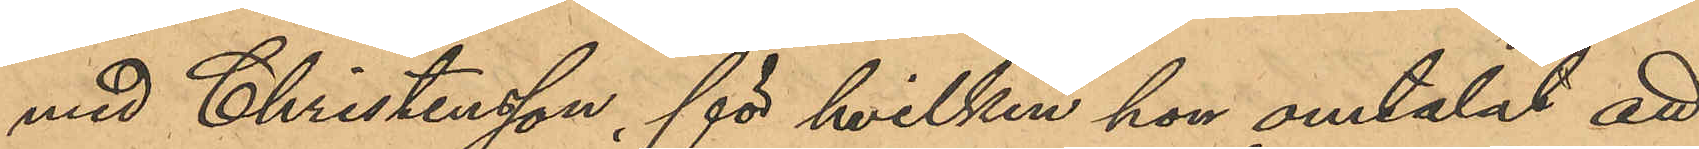med Christensson, för hvilken hon omtalat att
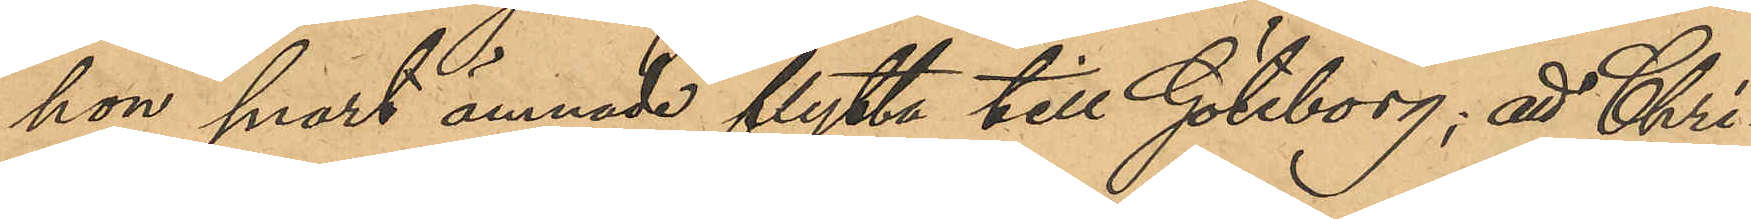hon snart ämnade flytta till Göteborg; att Chri¬
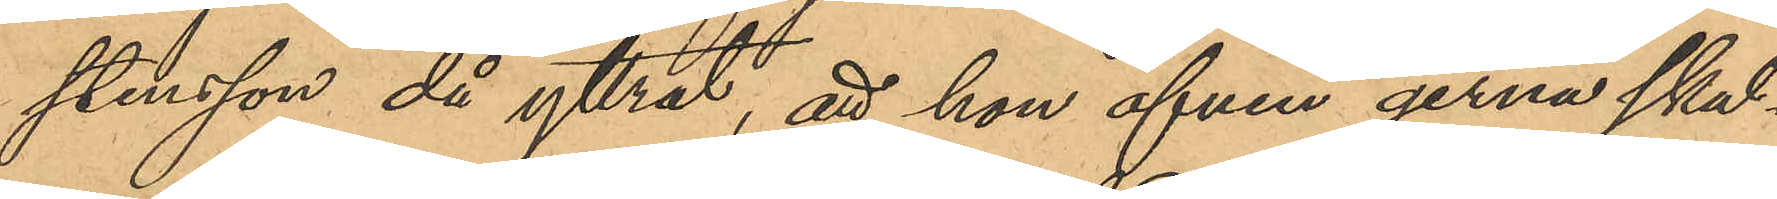stensson då yttrat, att hon äfven gerna skul¬
